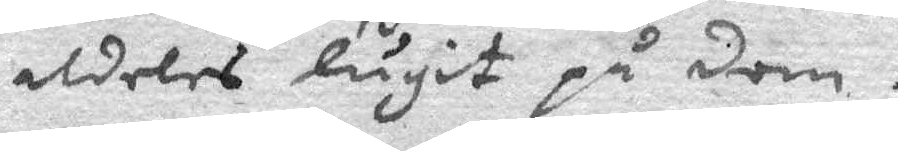aldeles lugit på dom.
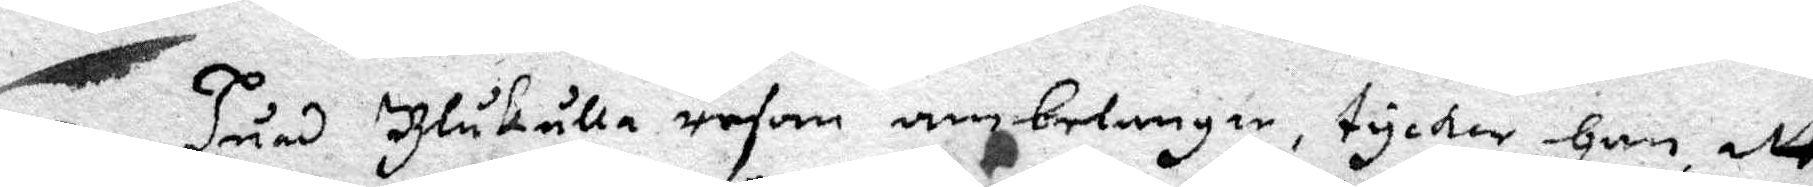5 Huad Blåkulla resan anbelangar, tycker Han att
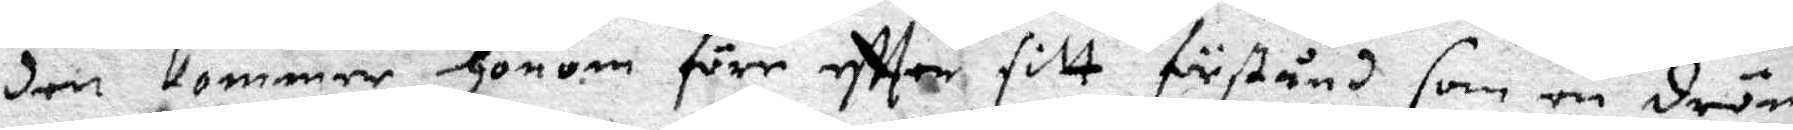den kommer Honom förr effter sitt förstånd som en dröm
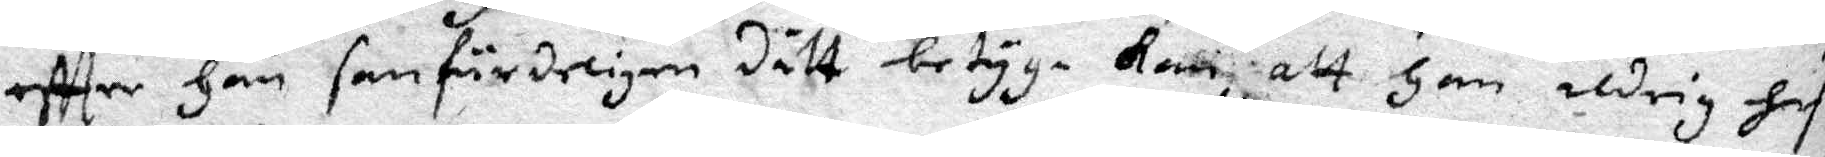effter Han sanfärdeligen dett betyga Kan, att Han aldrig hafwe
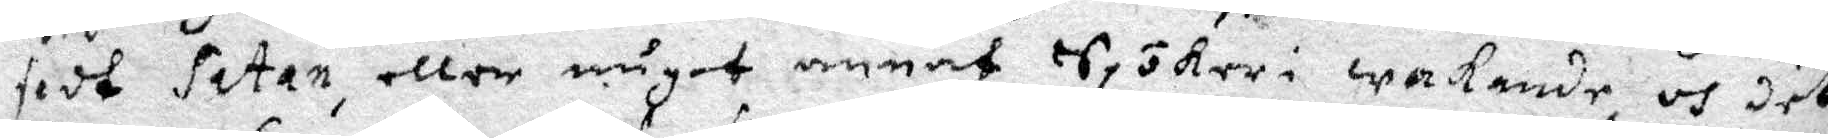sedt Satan, eller  något annat Spökeri i wakande, och det
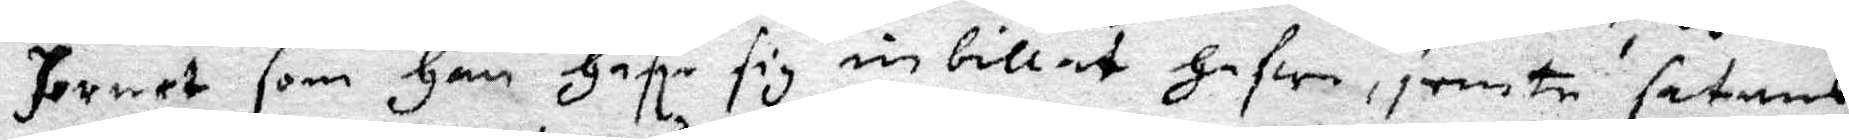Hornet som Han Hafe sig inbillat Hafwe, jemte satans
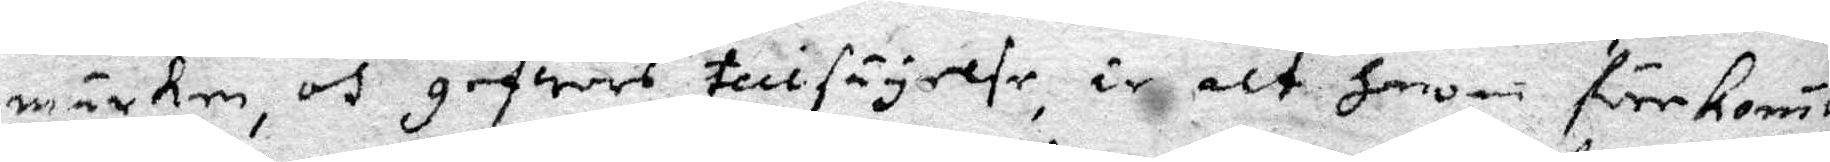märken, och gefwes tillsäyelse ir alt Honom förekomit
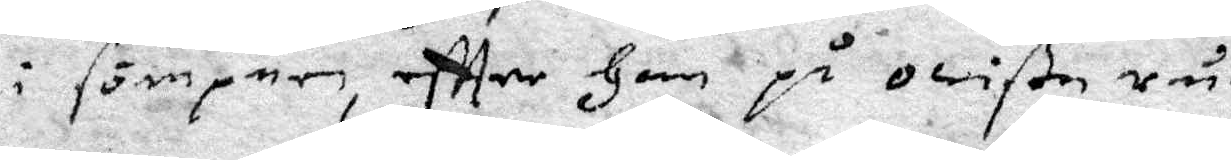i sömpnen, effter Han på owiße rum, hafe fått stickor
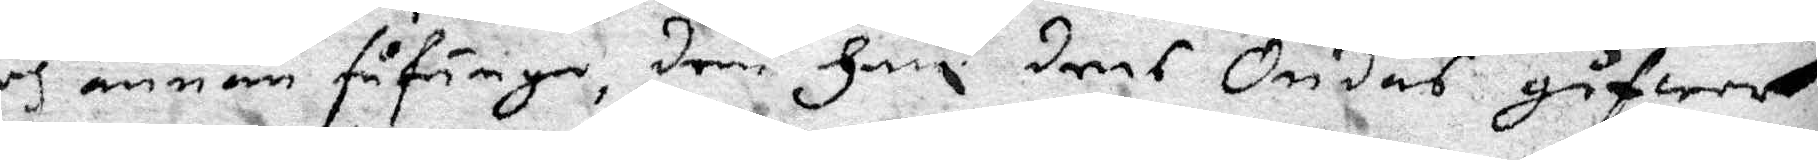och annan fåfänga, dem Han deras Ondas gåfwer
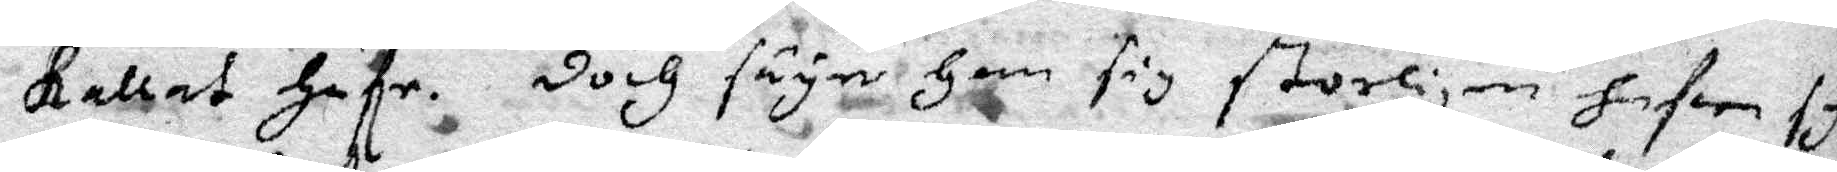Kallat Hafe. Doch säyer Han sig storligen hafwe syn¬
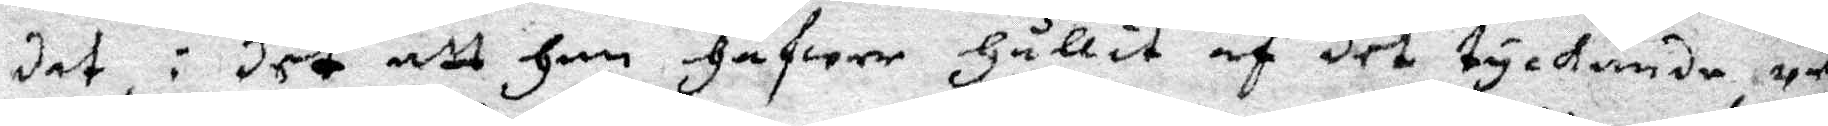dat, i det att Han Hafwet Hållit af det tyckande res
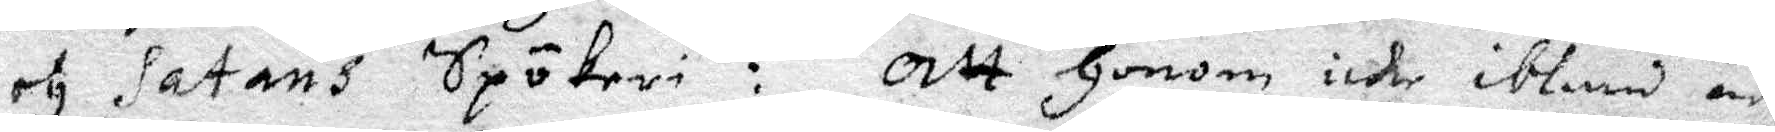och Satans Spökeri: Att Honom icke ibland är
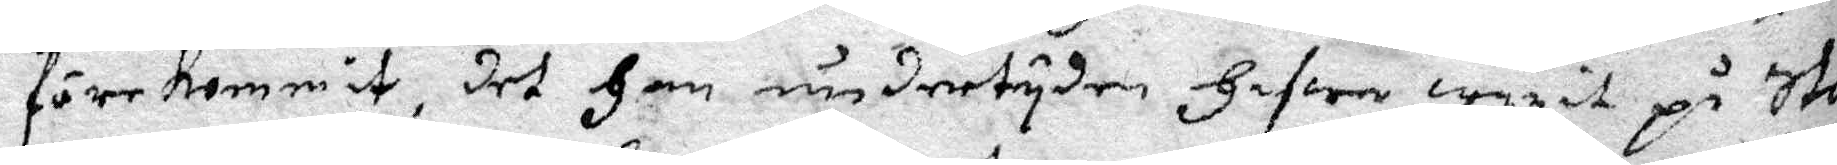förekommit, det Han undertyden Hafwe warit på Stor¬
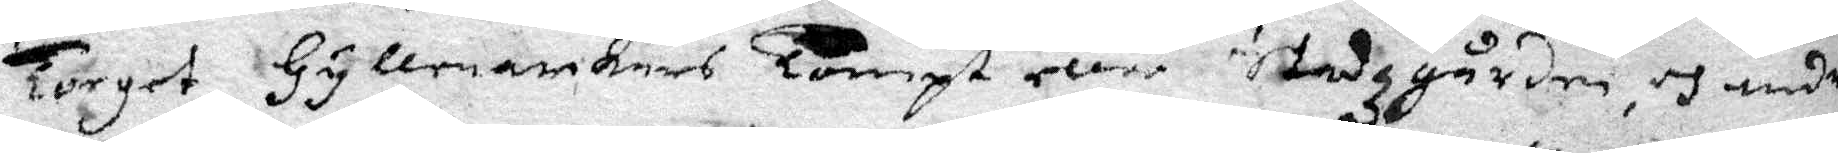Torget, Hyllenarkars Torget eller Stadzgården, och under
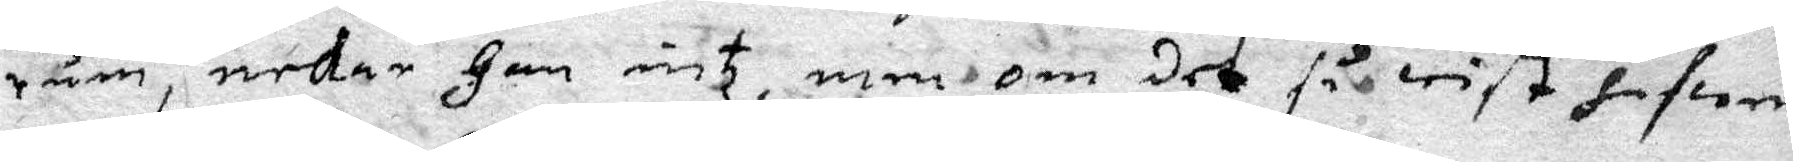rum, nekar Han intz, men om det så wist hafwer
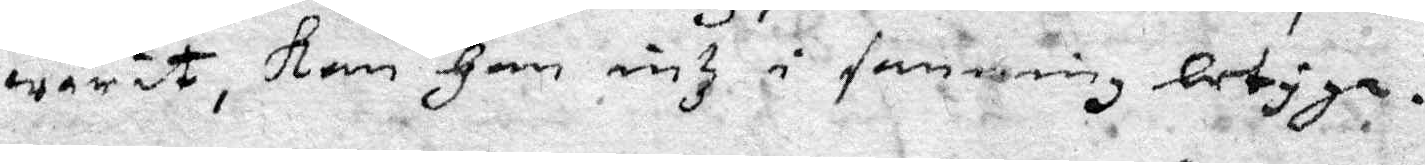warit, Kan Han intz i sanning betyga.
